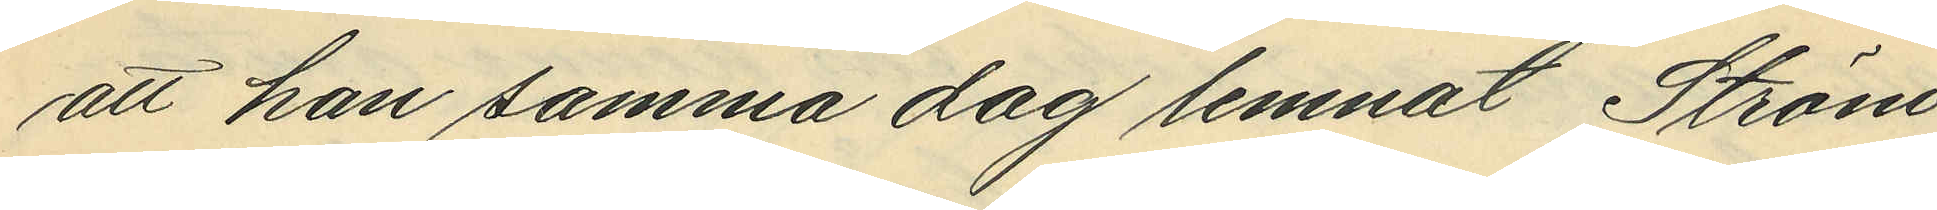att han samma dag lemnat Strö¬
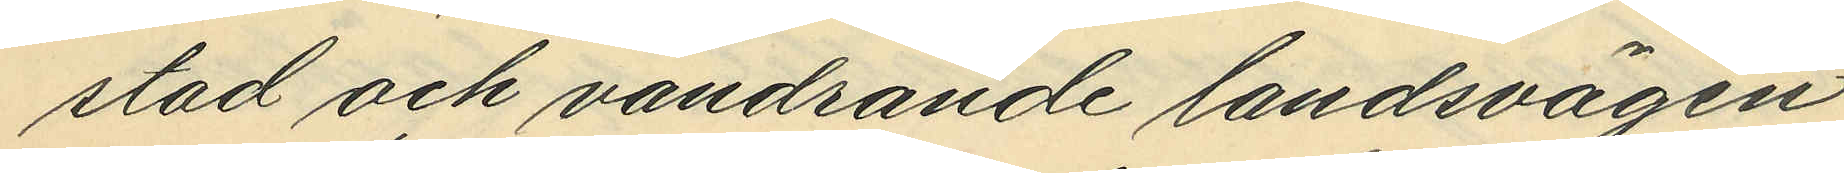stad och vandrande landsvägen
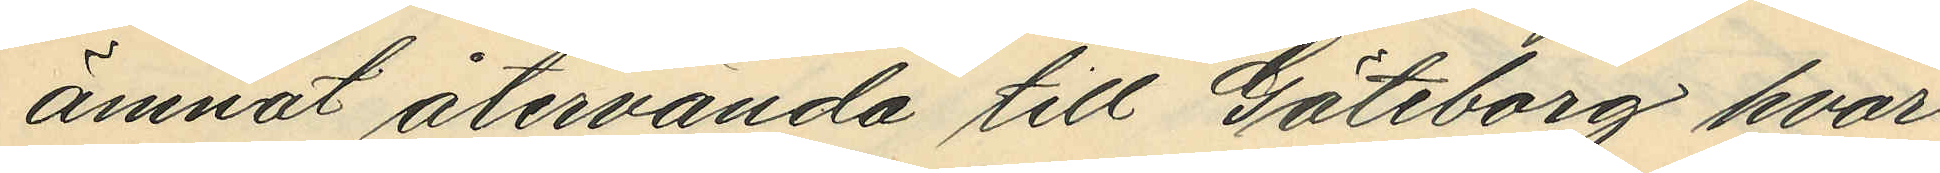ämnat återvända till Göteborg hvar
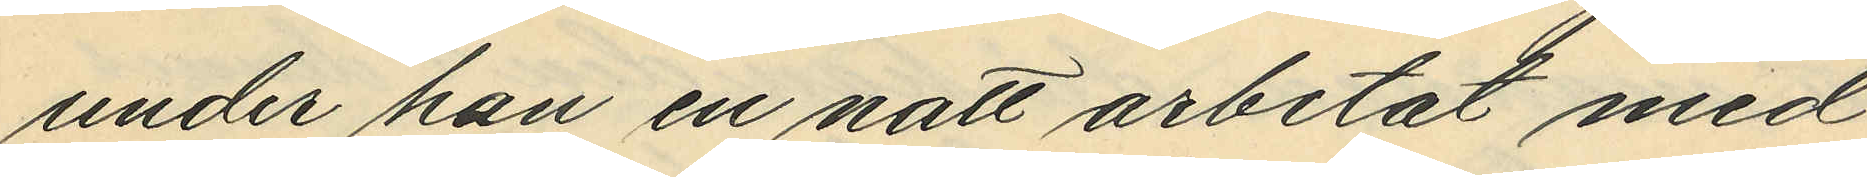under han en natt arbetat me
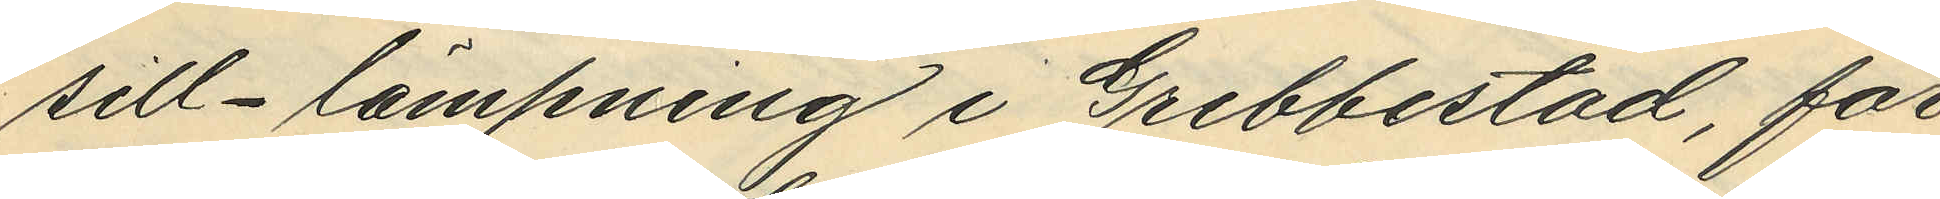sill-lämpling i Grebbestad, för
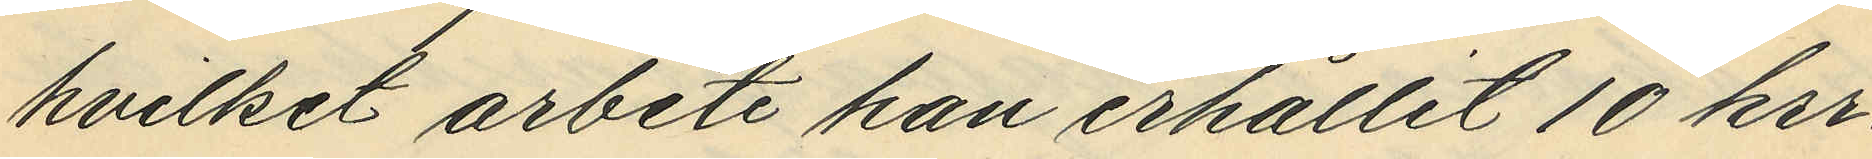hvilket arbete han erhållit 10 kr,
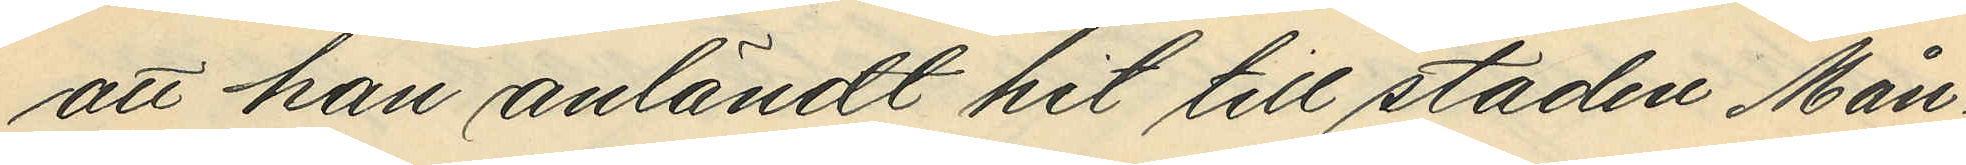att han anländt hit till staden Mån¬
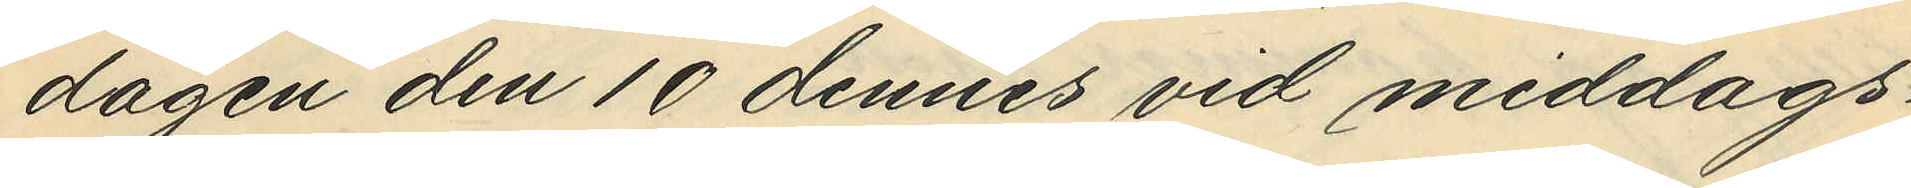dagen den 10 dennes vid middags¬
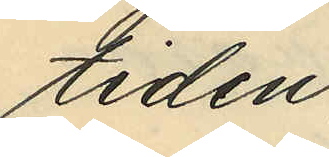tiden;
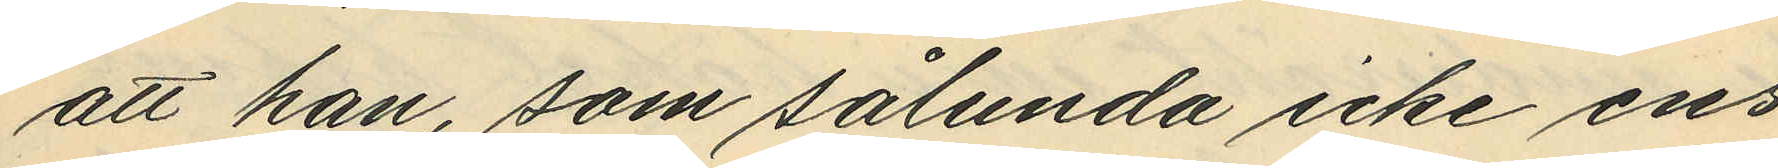att han, som sålunda icke ens
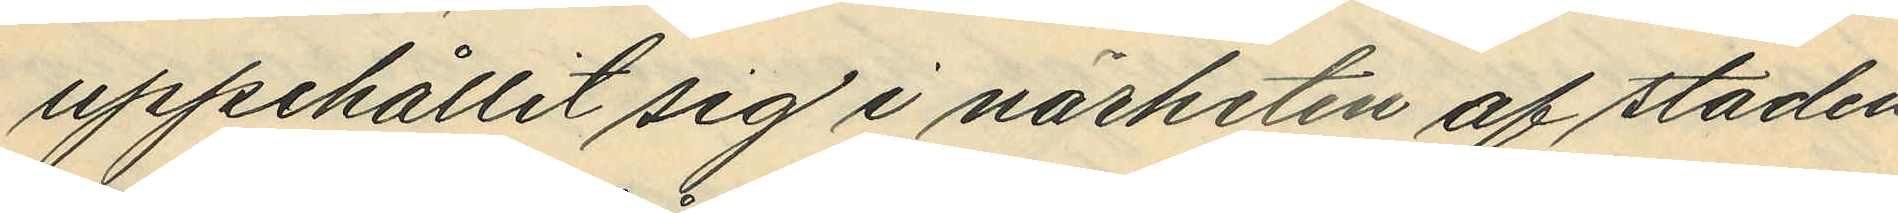uppehållit sig i närheten af staden
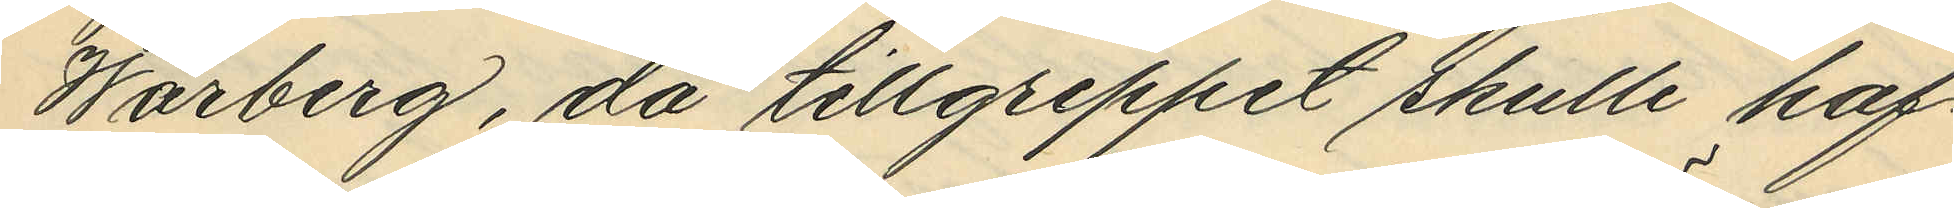Warberg, då tillgreppet skulle haf¬
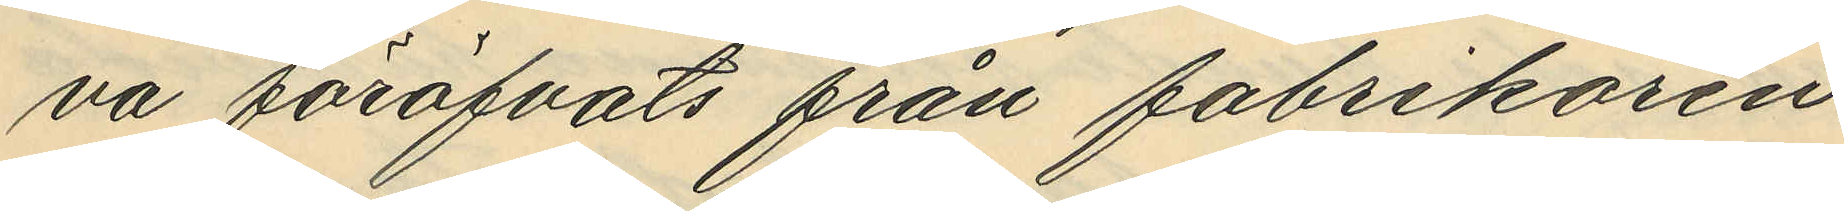va föröfvats från fabrikören
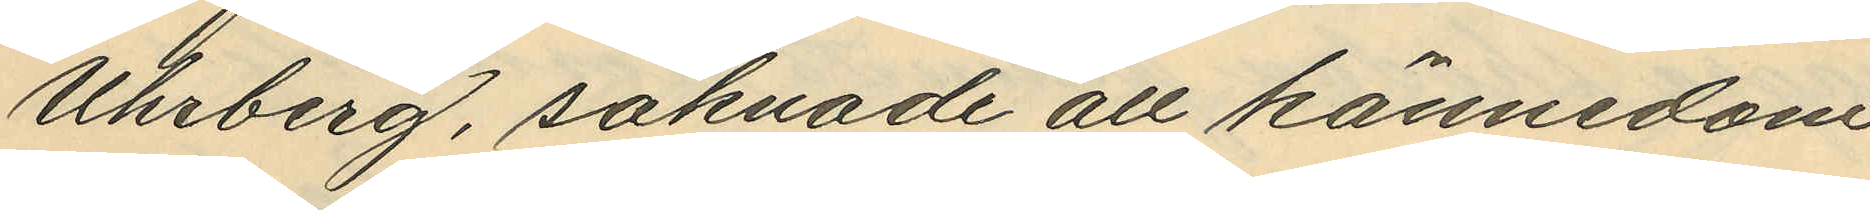Uhrberg, saknade all kännedom
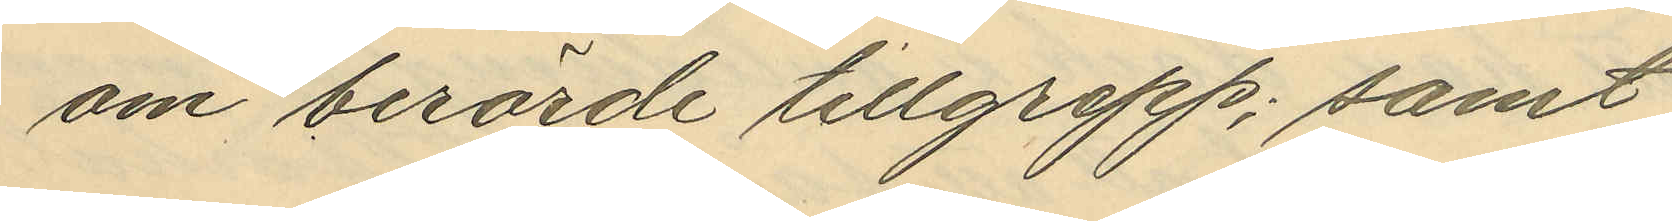om berörde tillgrepp; samt
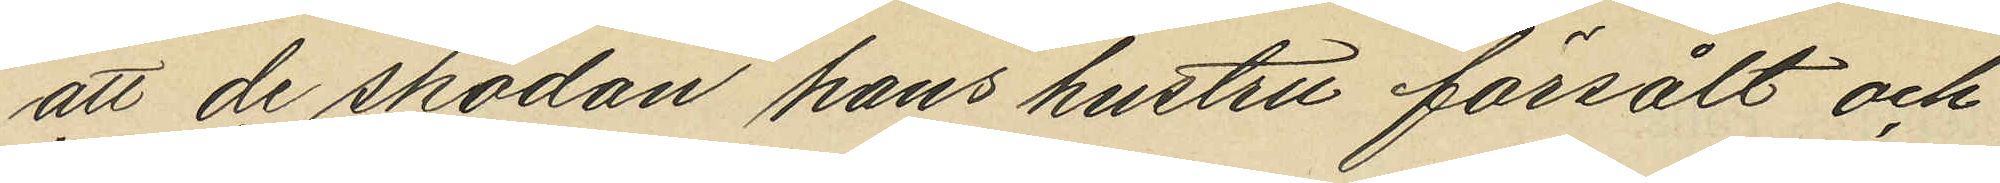att de skodon hans hustru försålt och
